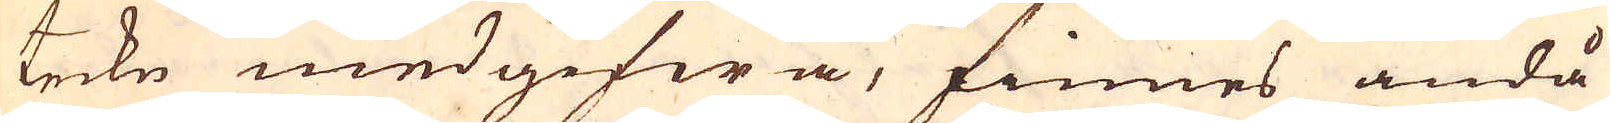teckn medgifwa, finnes ändå
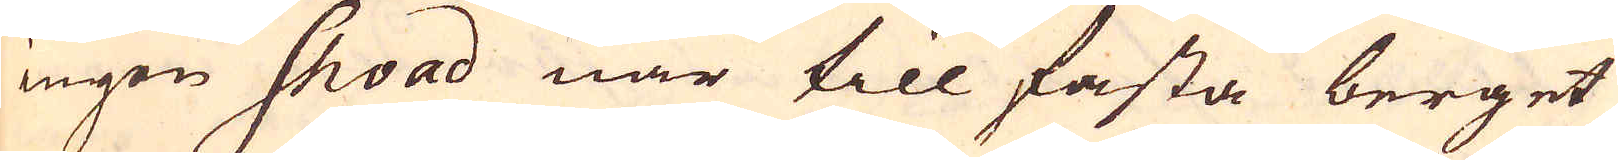ingen Shoad när till fasta berget
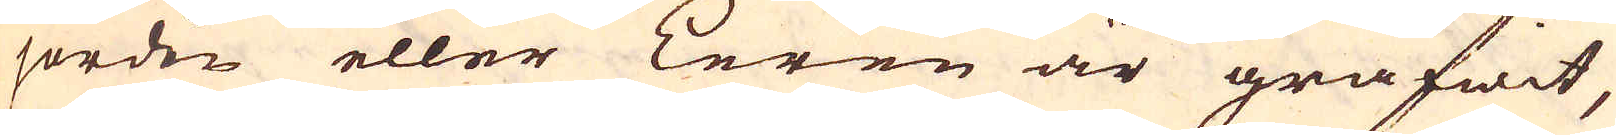jorden eller Leren är grafwit,
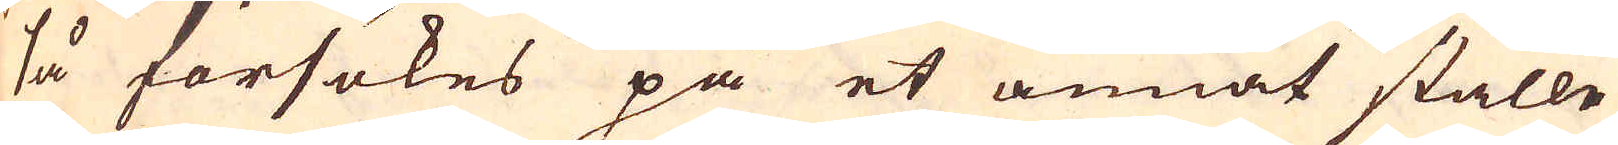så försökes på et annat ställe
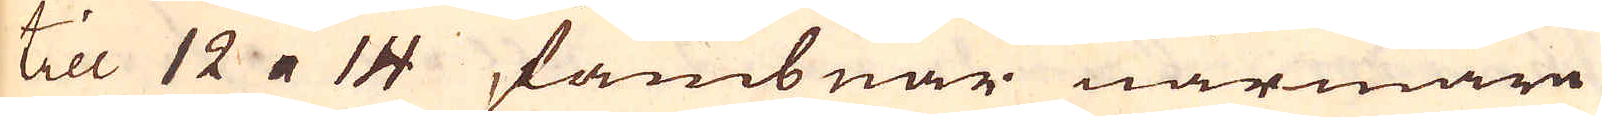Till 12 a 14 fambnar närmare
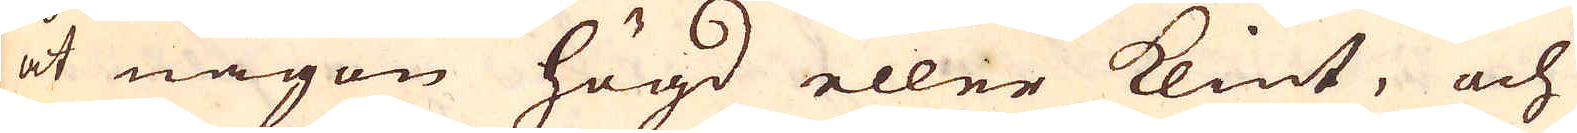åt någon högd eller klint, och
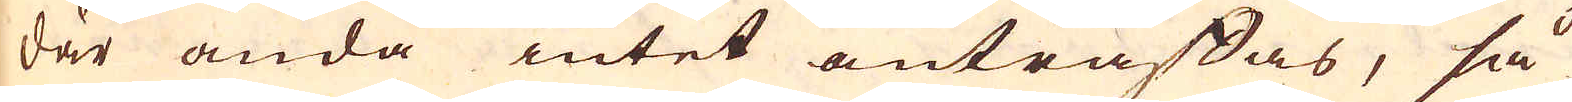där ända intet anträffas, så
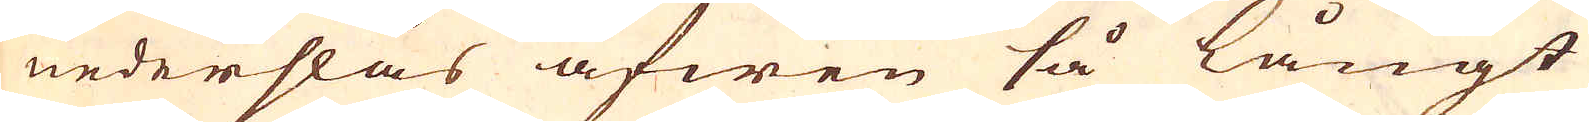nederslås äfwen så långt
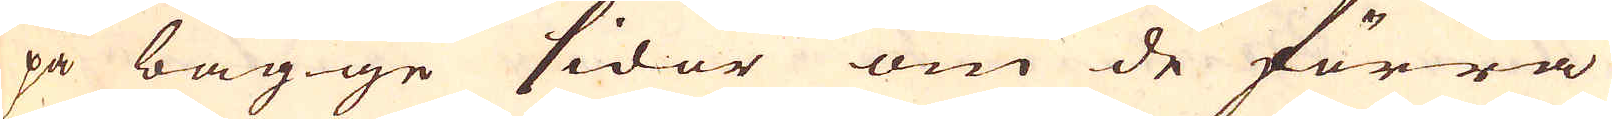på bägge sidor om de förra
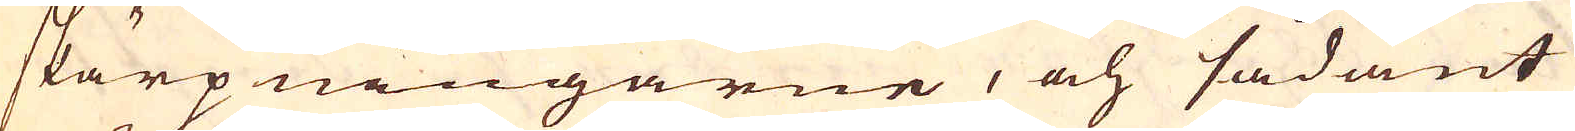skärpningarne, och sådant
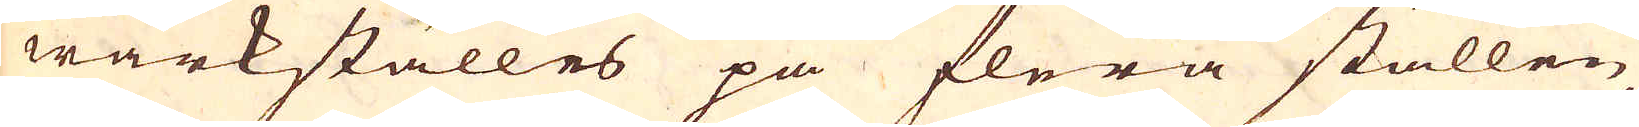wärkställes på flera ställen
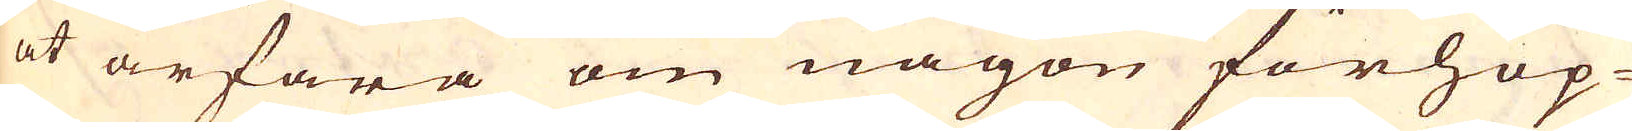at ärfara om någon förhop-
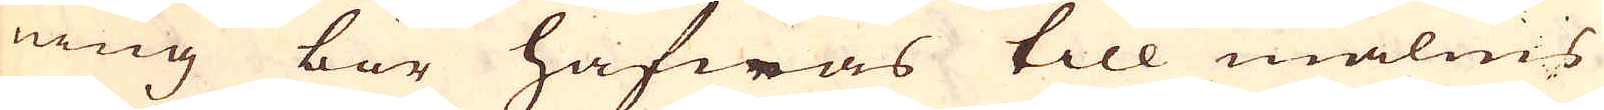ning bör hafwas till malms
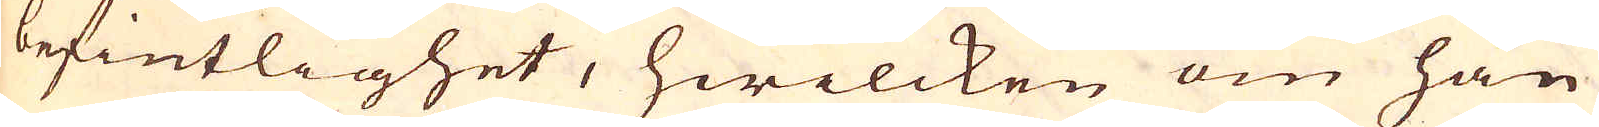befintlighet, hwilcken om han
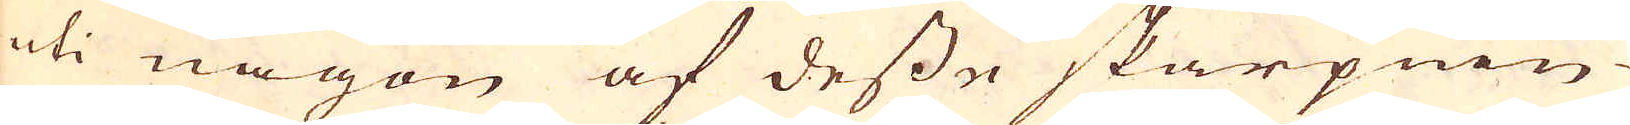uti någon af desse skärpnin-
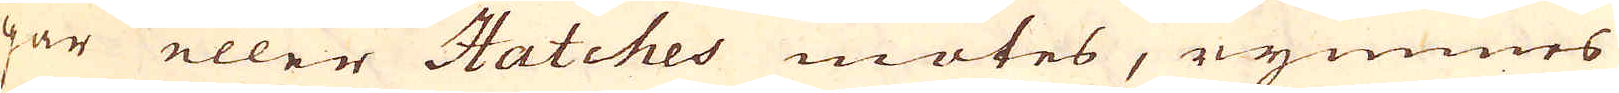gar eller Hatches mötes, rymmes
